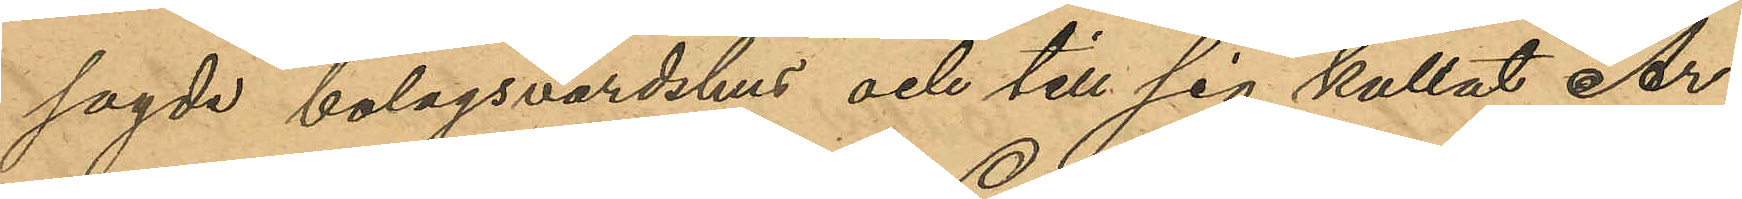sagde bolagsvärdshus och till sig kallat Ar¬
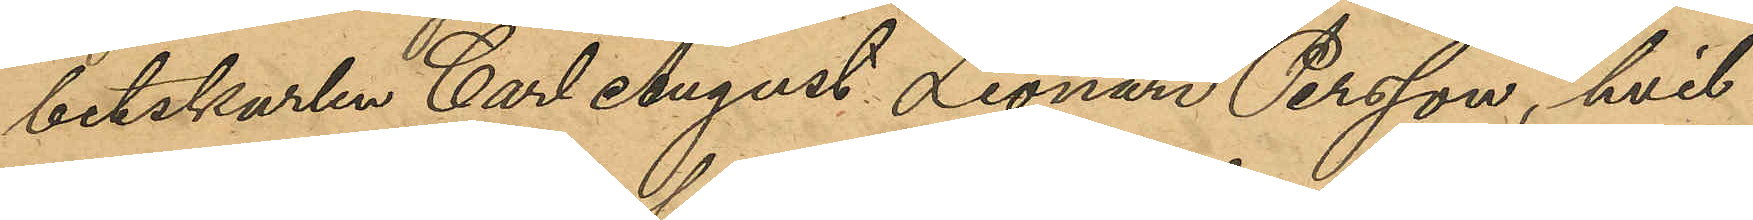betskarlen Carl August Leonard Persson, hvil¬
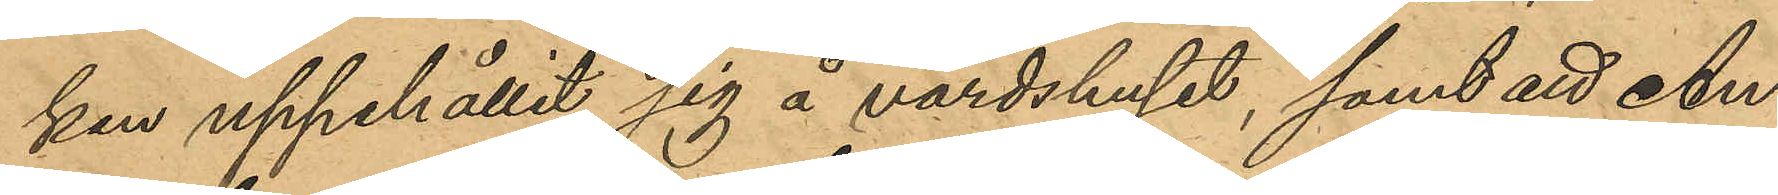ken uppehållit sig å värdshuset, samt att An¬
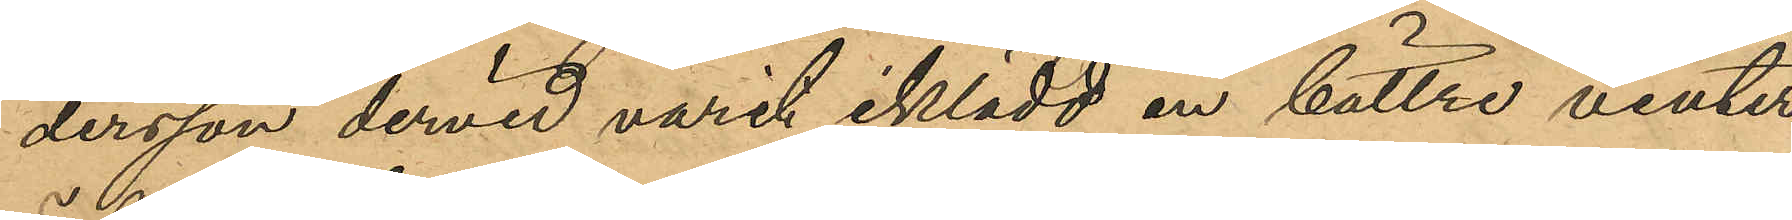dersson dervid varit iklädd en bättre vinter¬
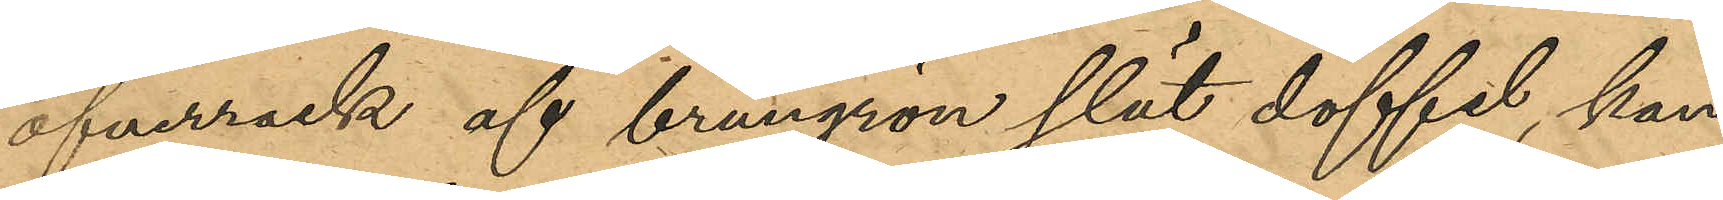öfverrock af brungrön slät doffel, kan¬
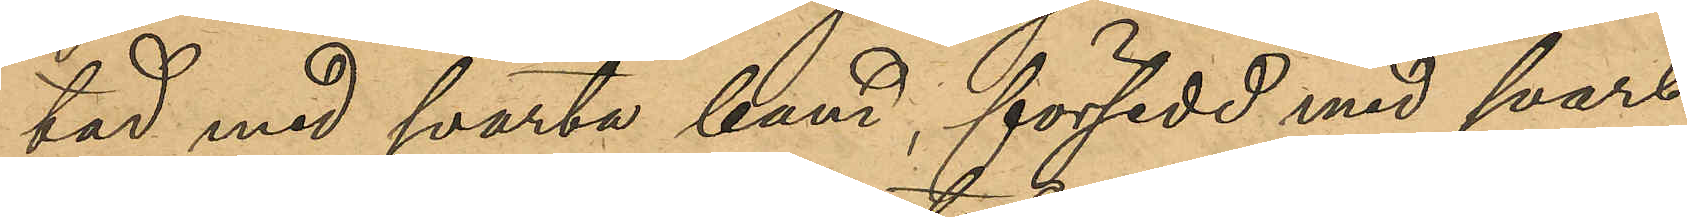tad med svarta band, försedd med svart
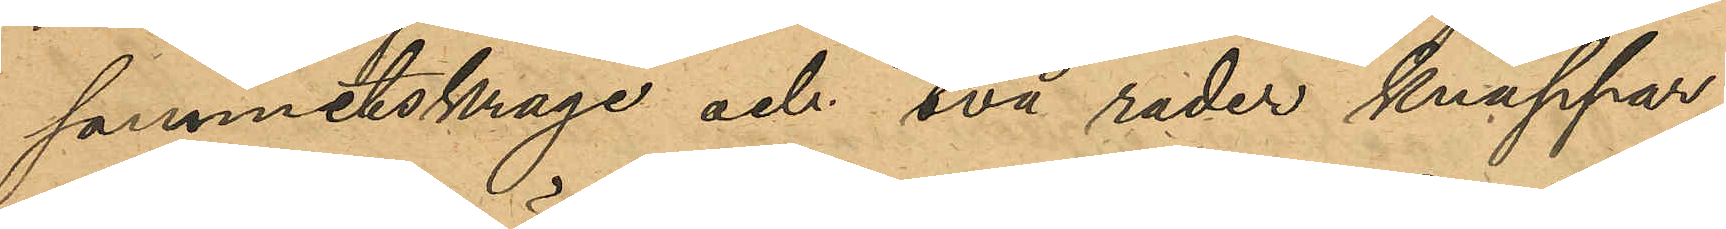sammetskrage och två rader knappar;
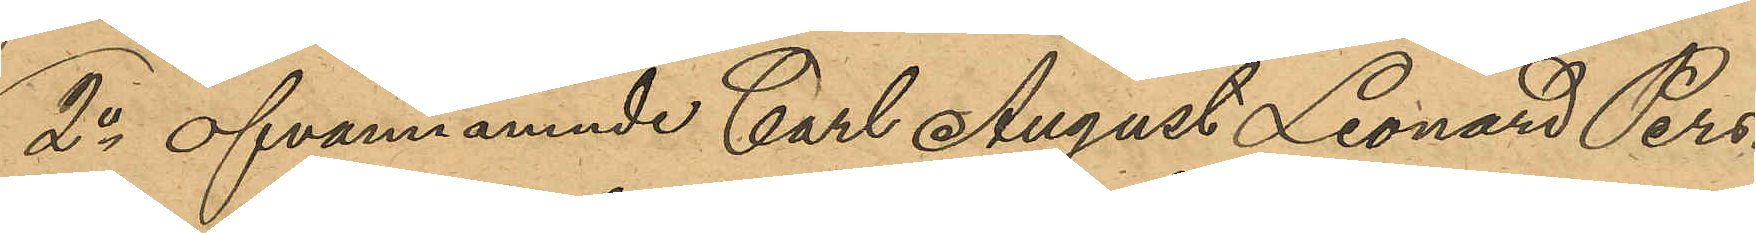2o ofvannämnde Carl August Leonard Pers¬
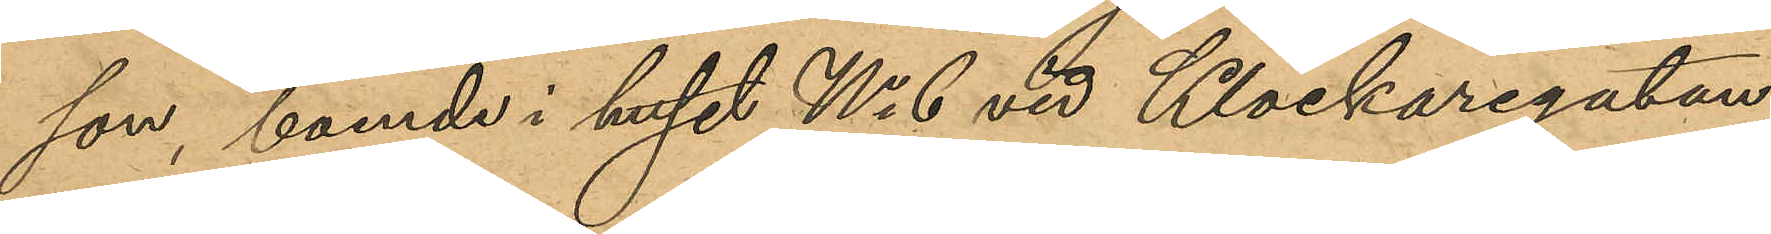son, boende i huset No 6 vid Klockaregatan;
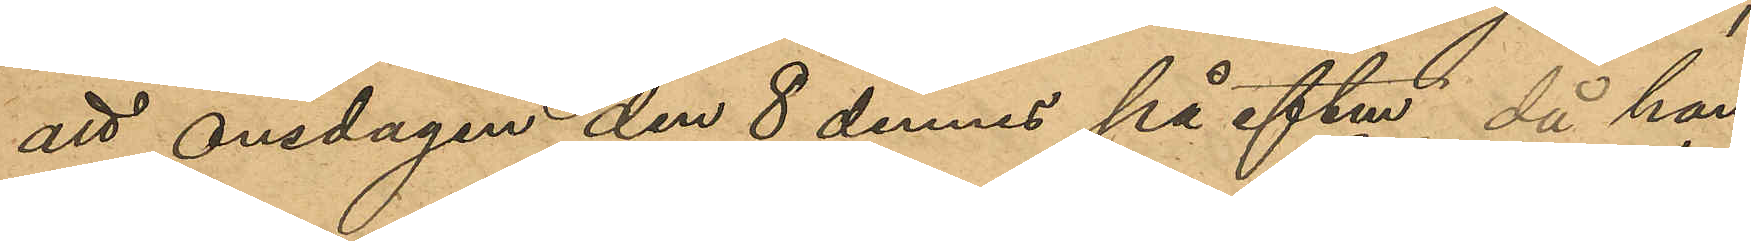att onsdagen den 8 dennes på eftm, då han
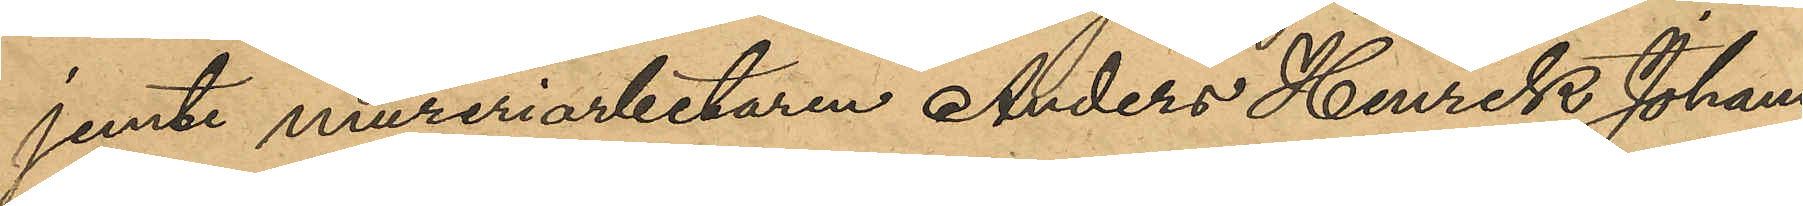jemte mureriarbetaren Anders Henrik Johans¬
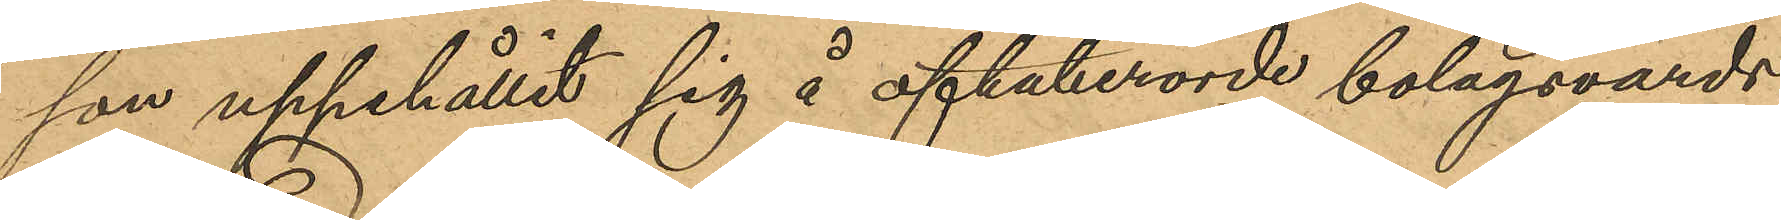son uppehållit sig å oftaberörde bolagsvärds¬
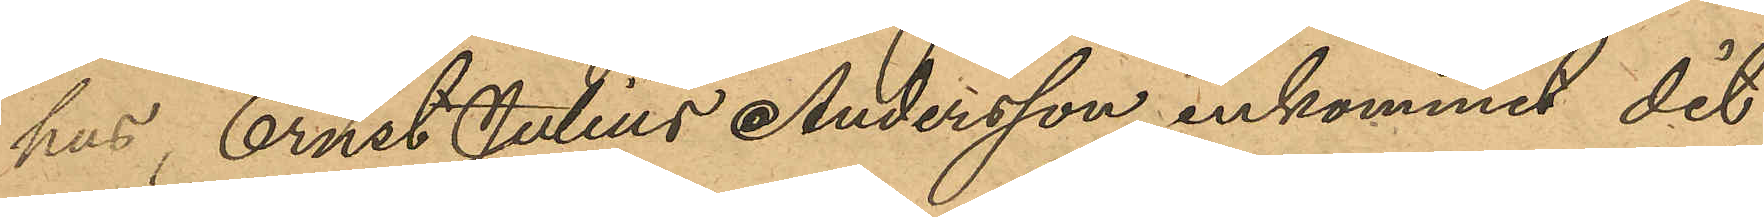hus, Ernst Julius Andersson inkommit dit
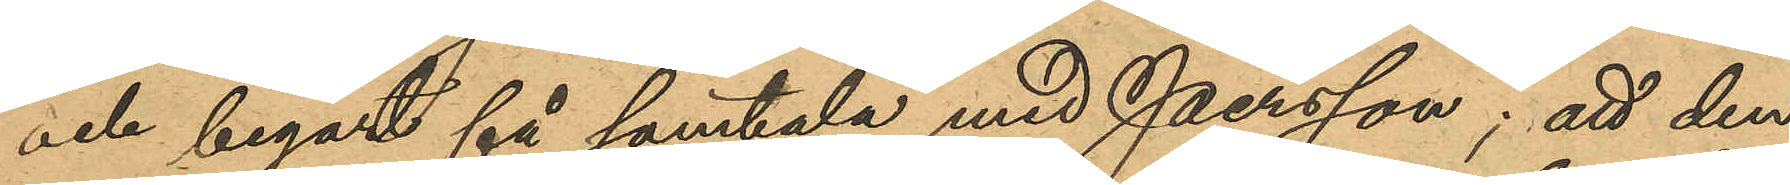och begärt få samtala med Persson; att den¬
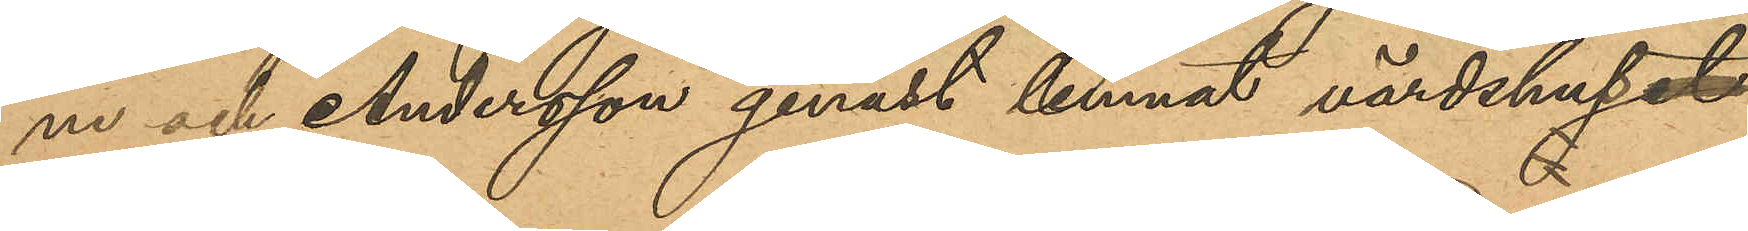ne och Andersson genast lemnat värdshuset¬
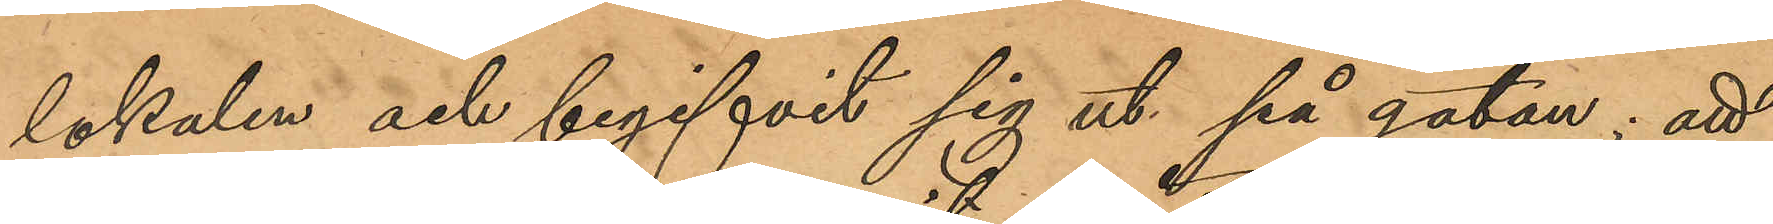lokalen och begifvit sig ut på gatan; att
